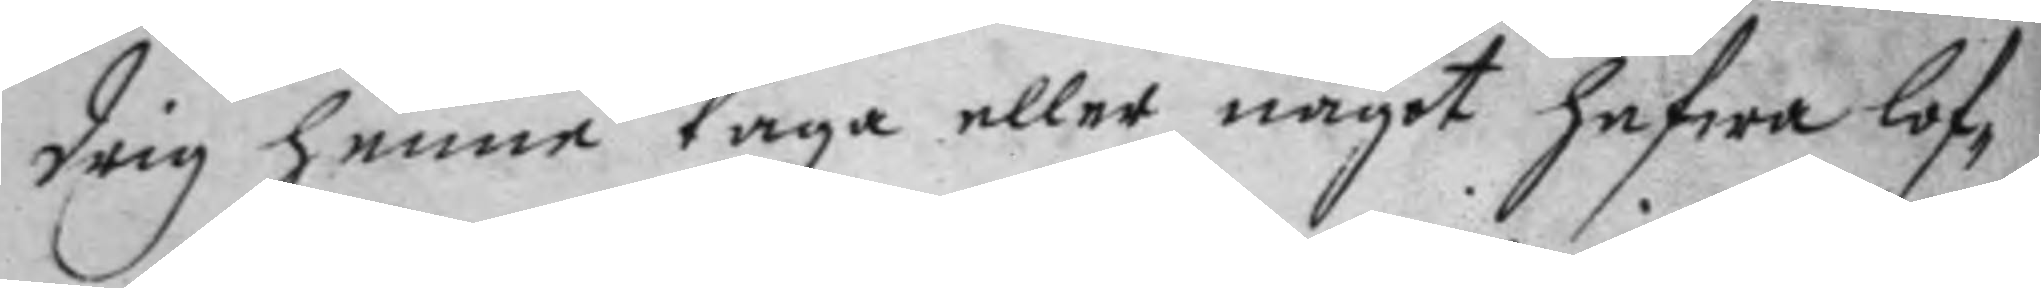drig henne taga eller något hafwa lof¬
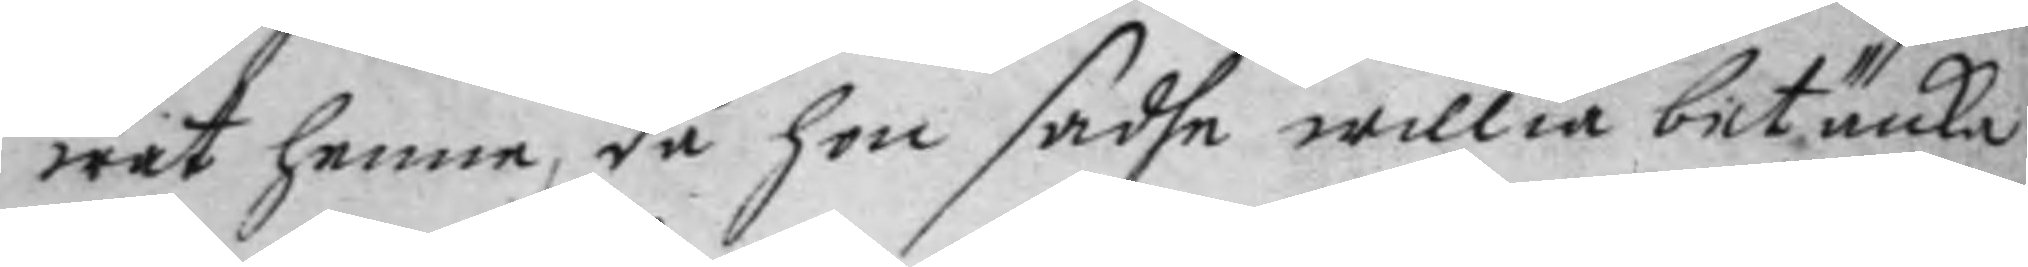wat henne, då hon sadhe willia betäncka
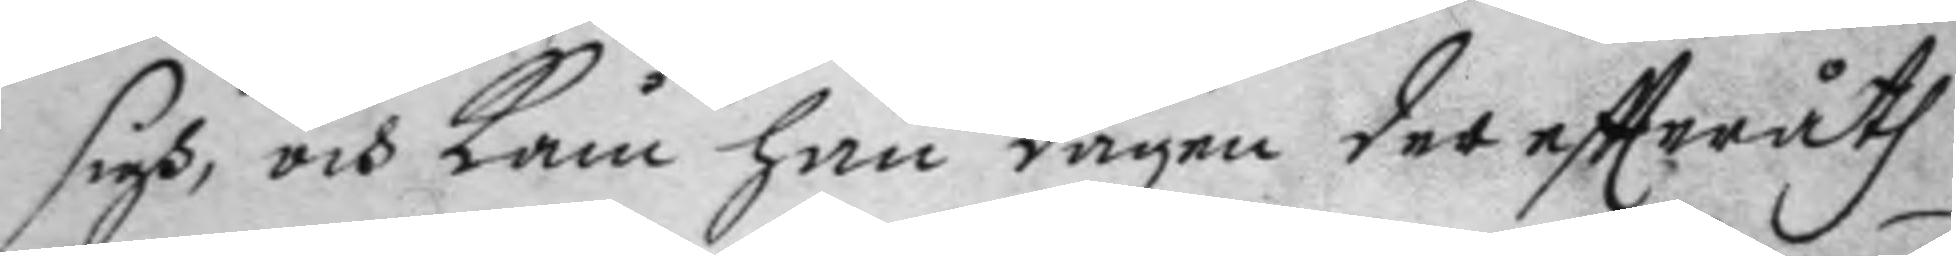sigh, och Kåm han dagen dereftteråth
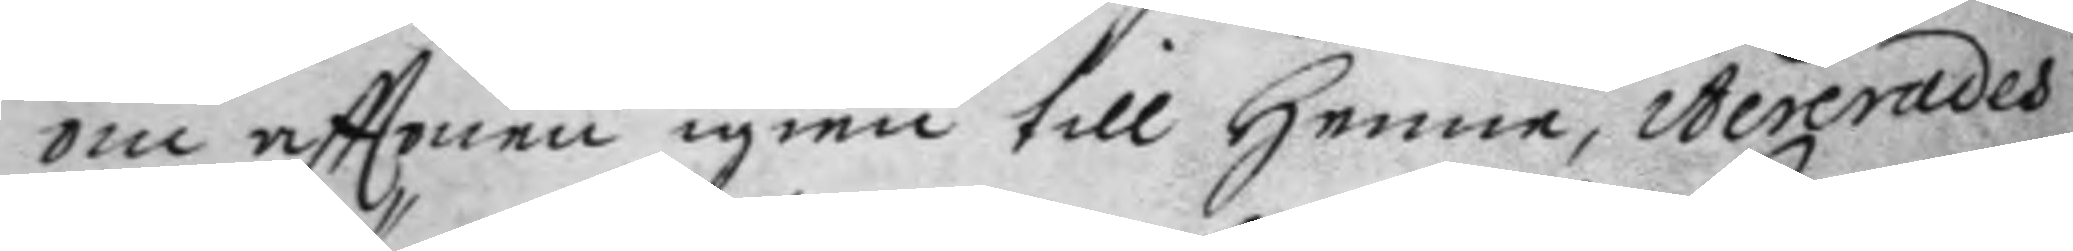om afttonen igien till henne itererades
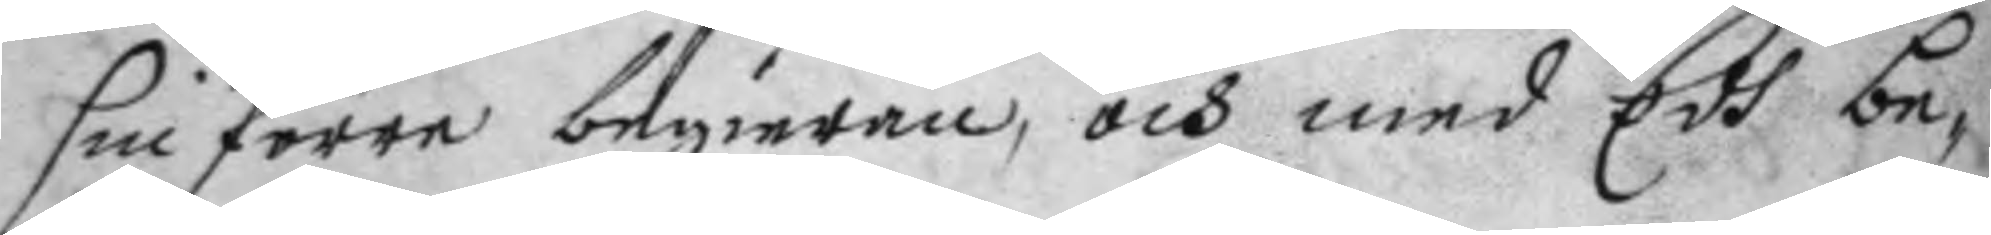sin förre begieran, och med Edh be¬
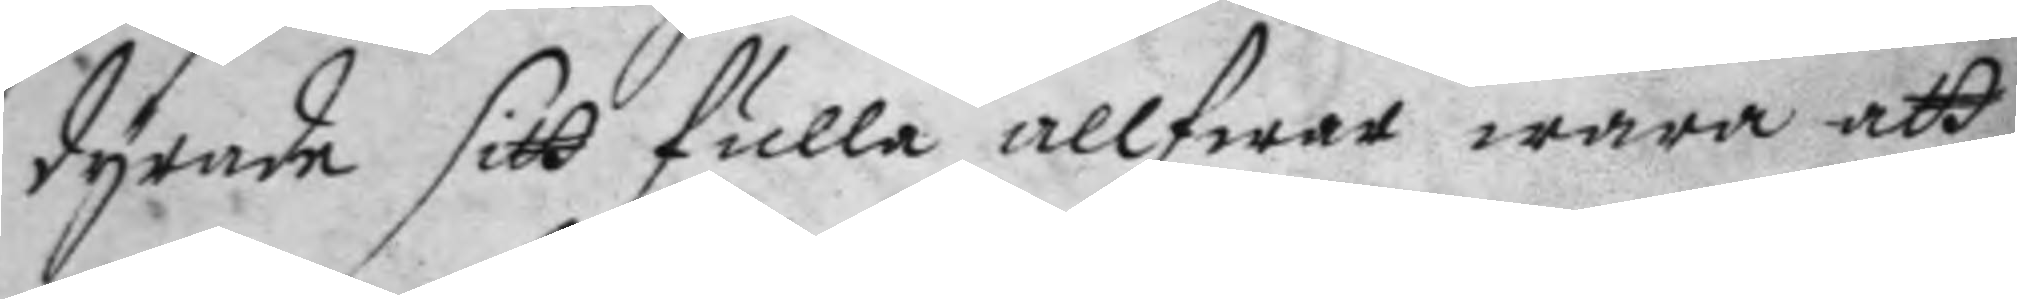dyrade sitt fulla allfwar wara att
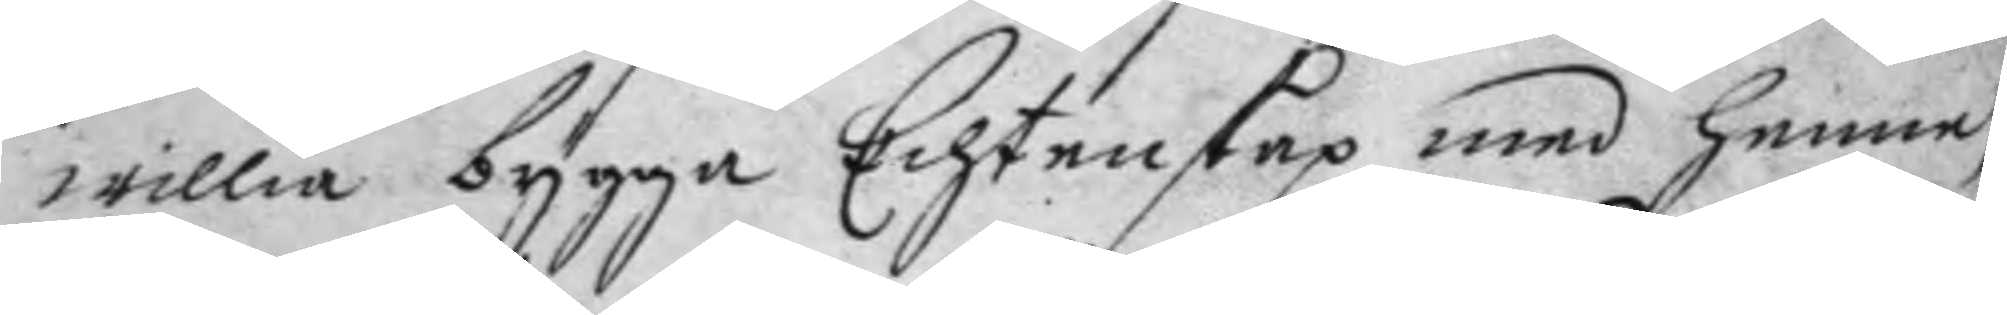willia bygga Echtenskap med henne,
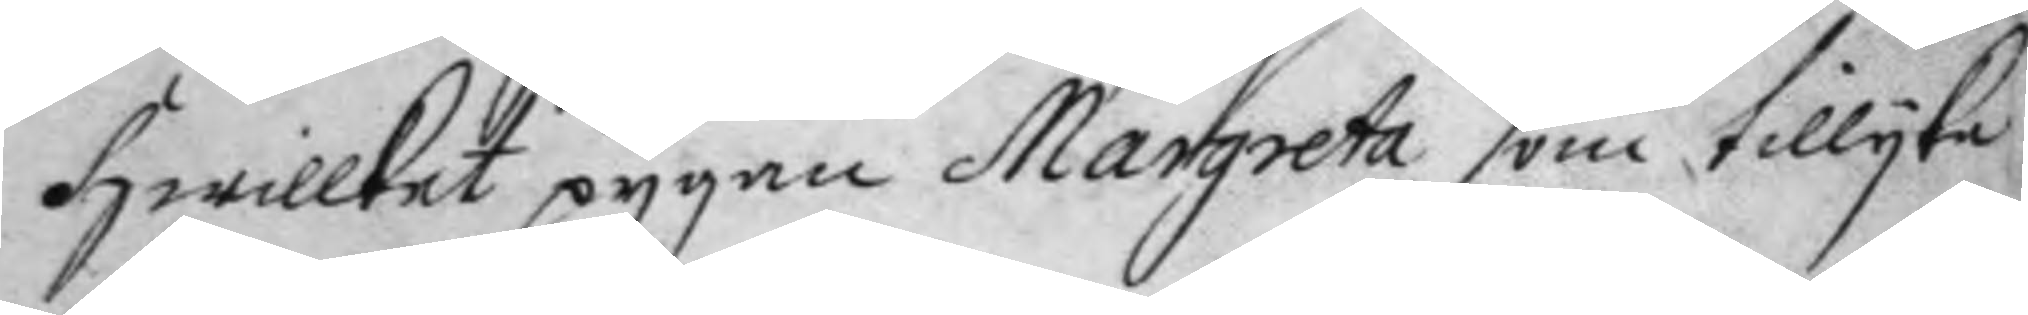hwillket pygan Margreta som tillyka
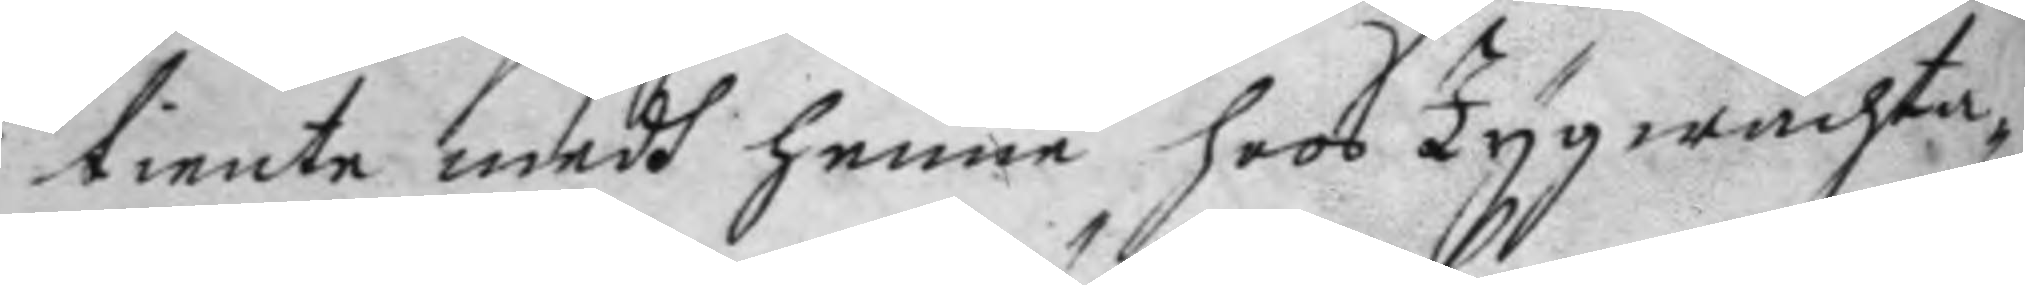tiente medh henne hoos Tygwachta¬
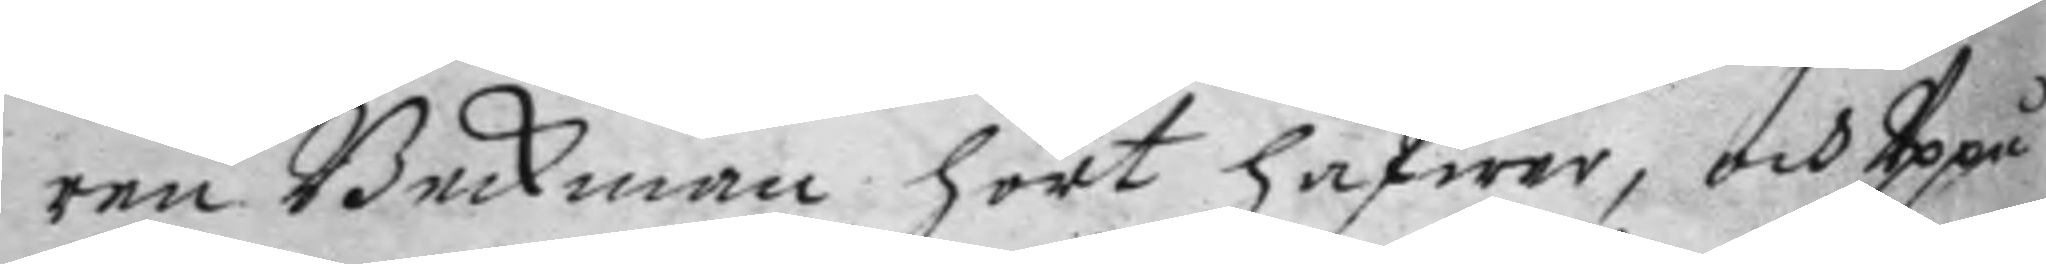ren Beckman hört hafwer, och Uppå
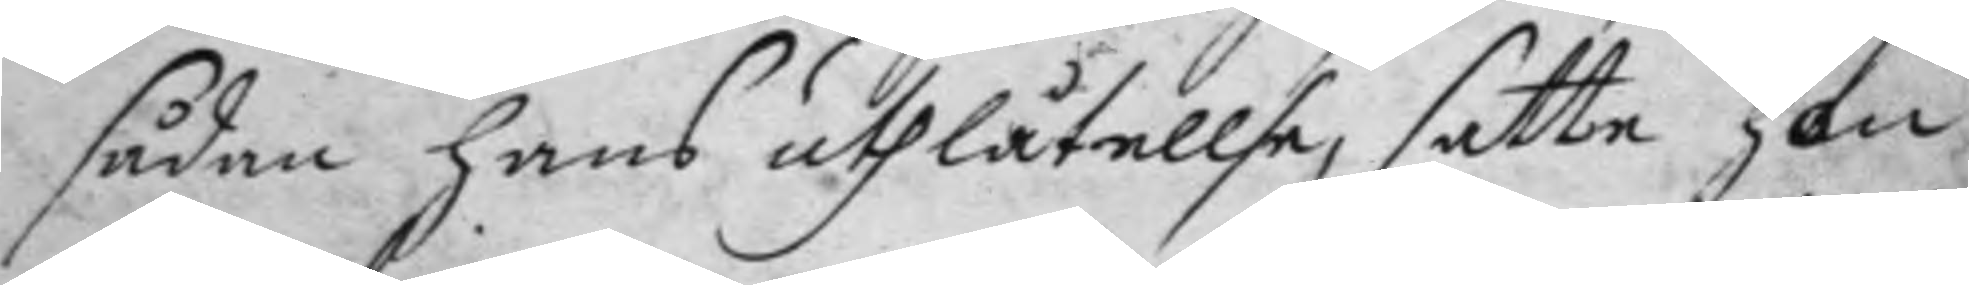sådan hans uthlåtellse, satte hon
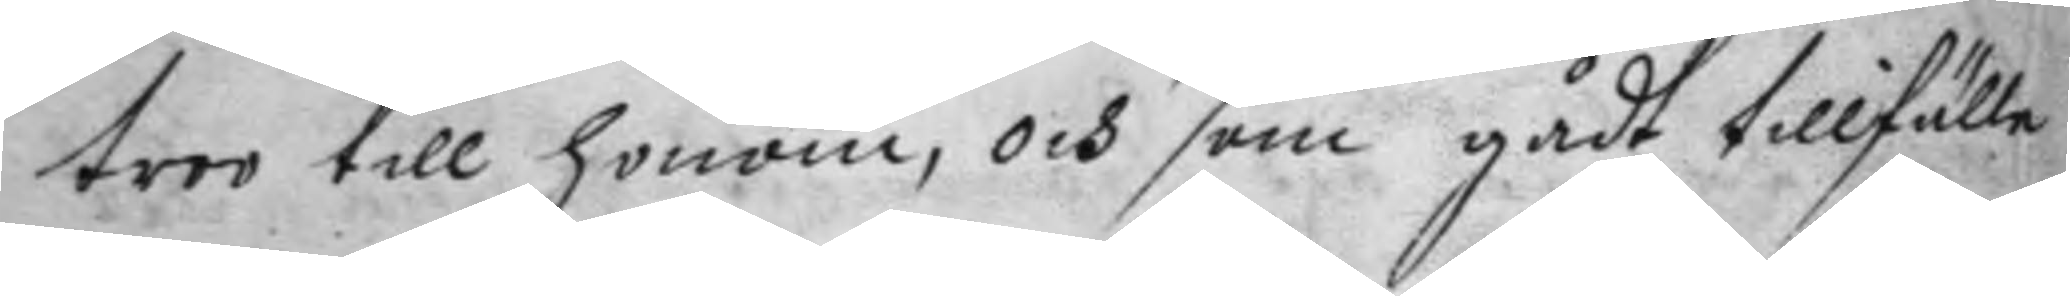troo till honom, och som gådt tillfälle
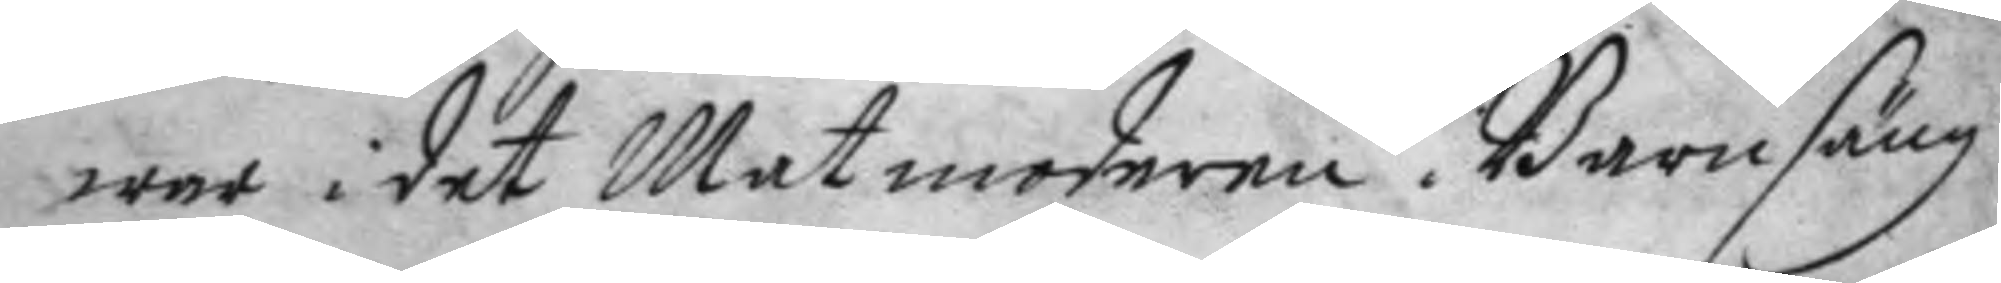war i det Matmoderen i Barnsäng
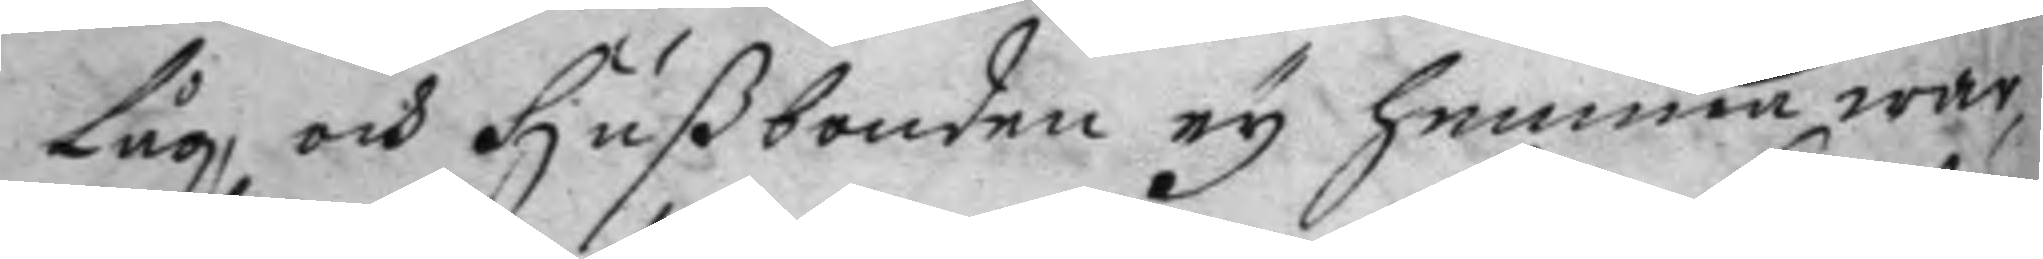Låg, och hußbonden ey hemma war,
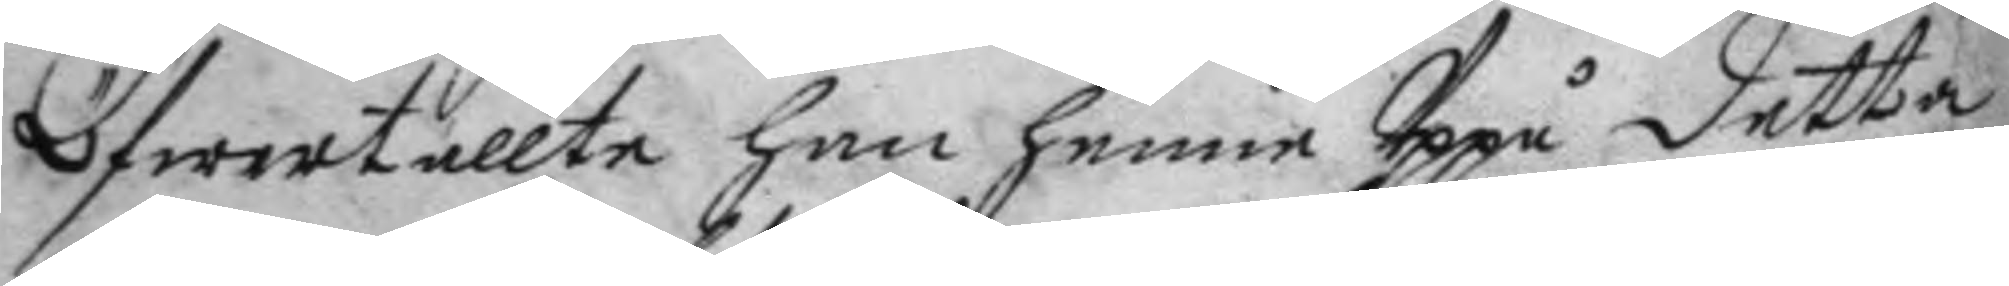öfwertallte han henne Uppå detta
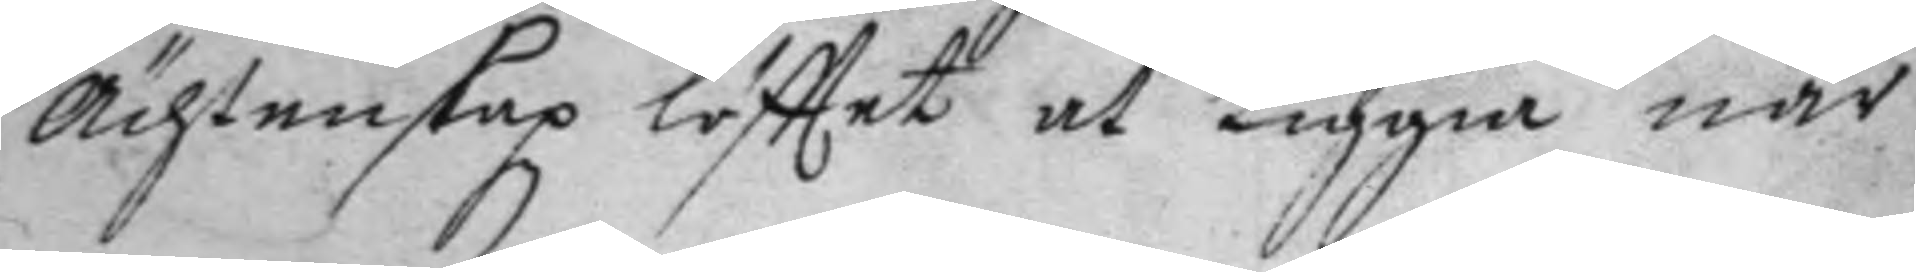ächtenskapz löfttet at Liggia när
